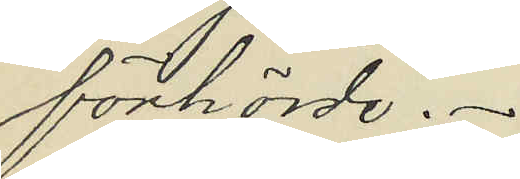förhörde.
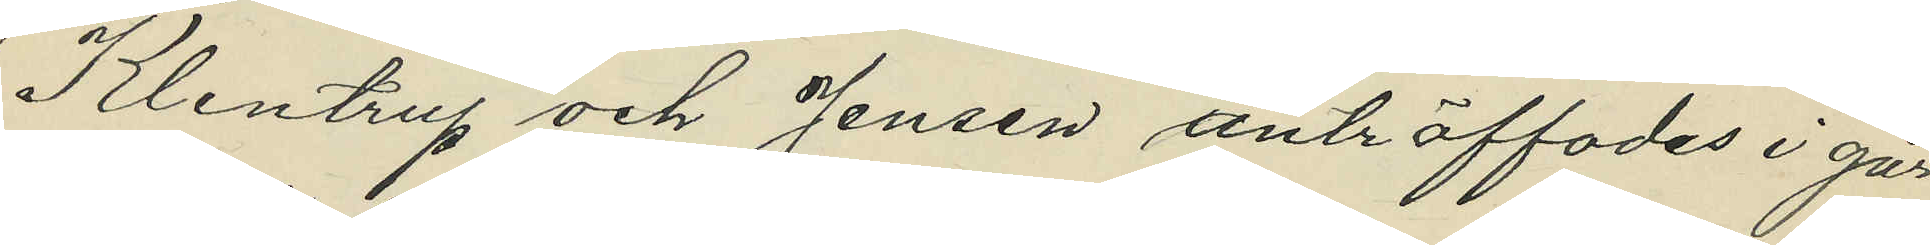Klentrup och Jensen anträffades i går
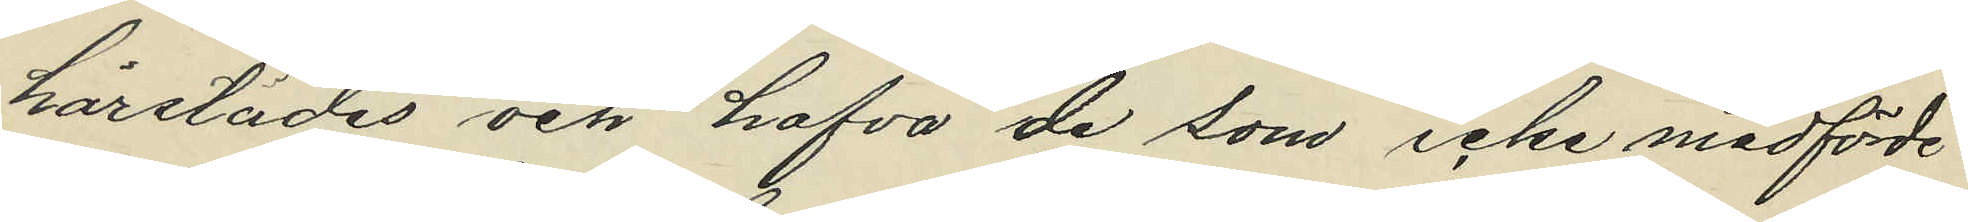härstädes och hafva de som icke medförde
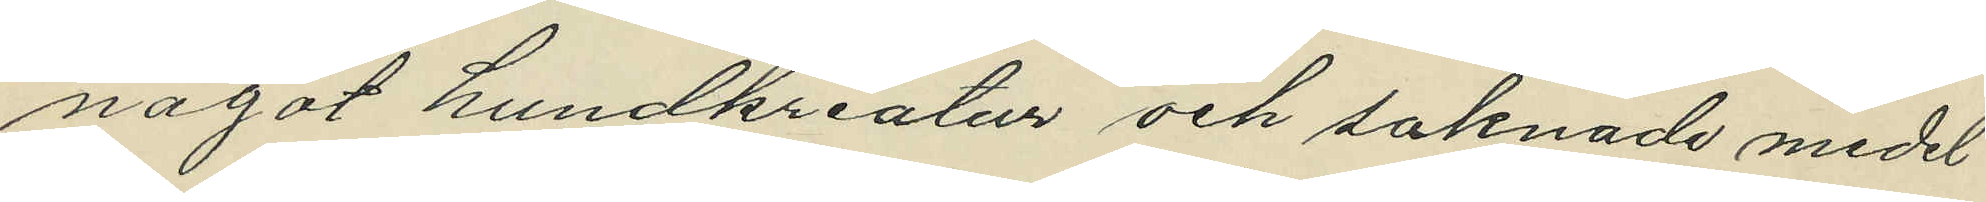något hundkreatur och saknade medel
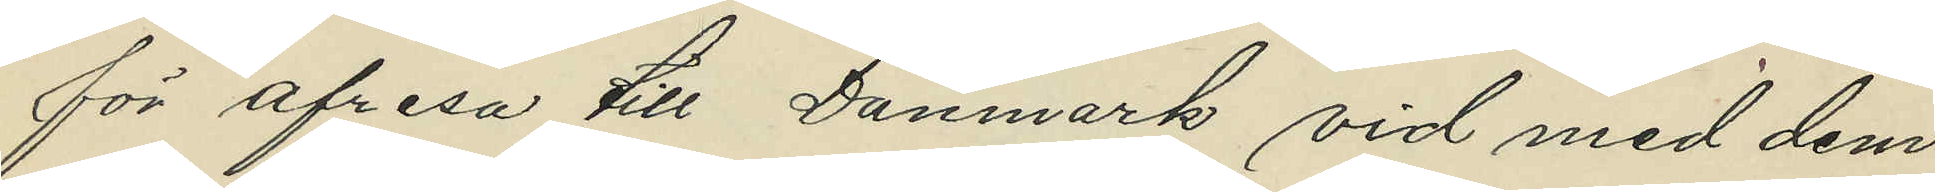för afresa till Danmark vid med dem
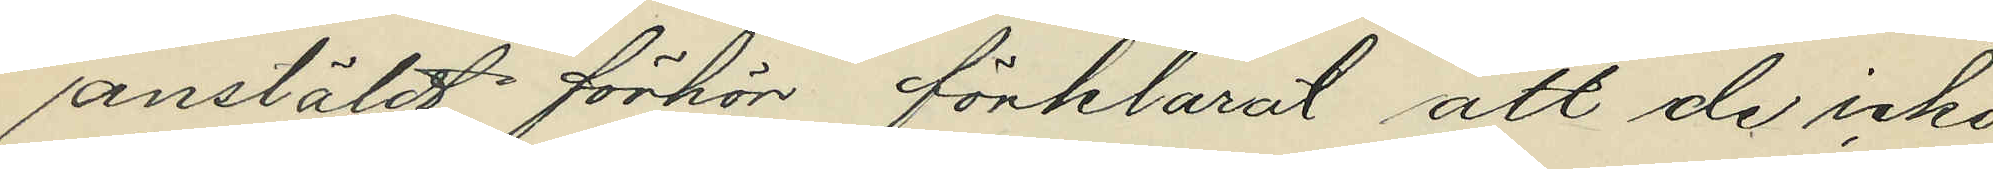anstäldt förhör förklarat att de icke
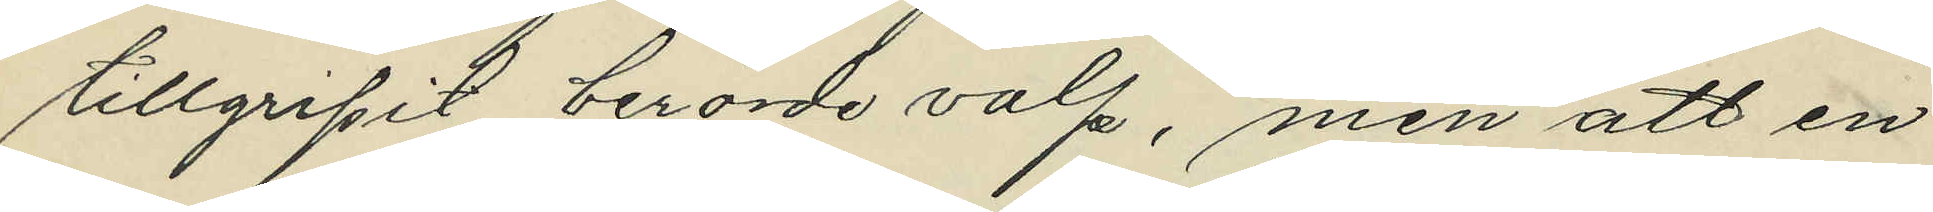tillgripit berörde valp, men att en
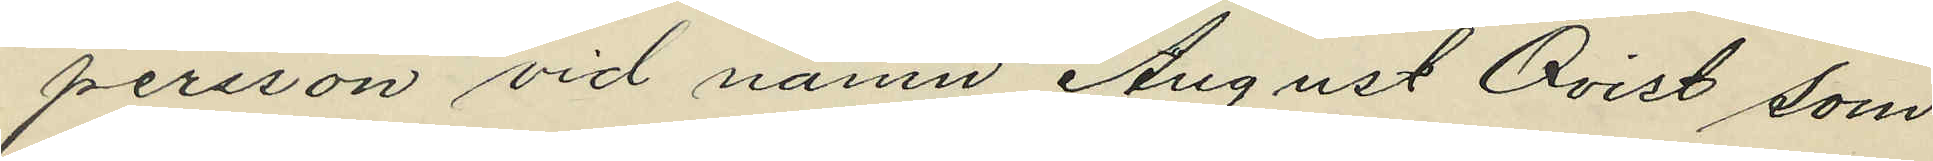persson vid namn August Qvist som
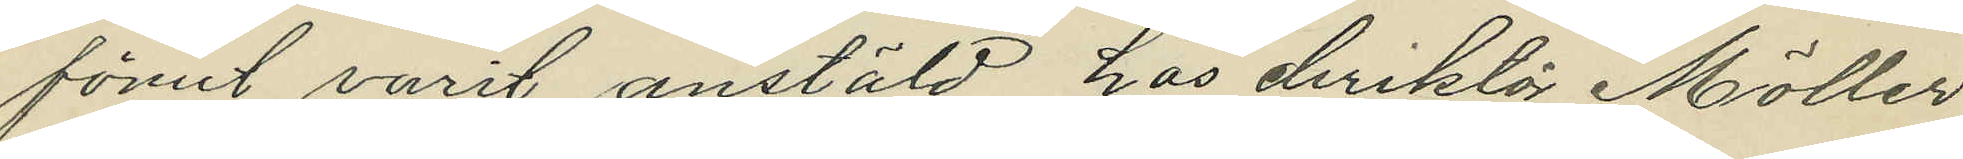förut varit anstäld hos diriktör Möller
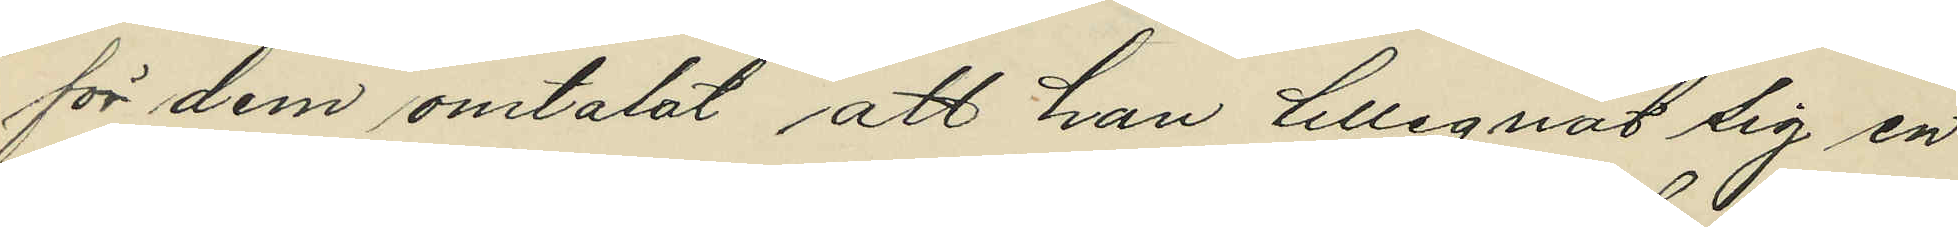för dem omtalat att han tillegnat sig en
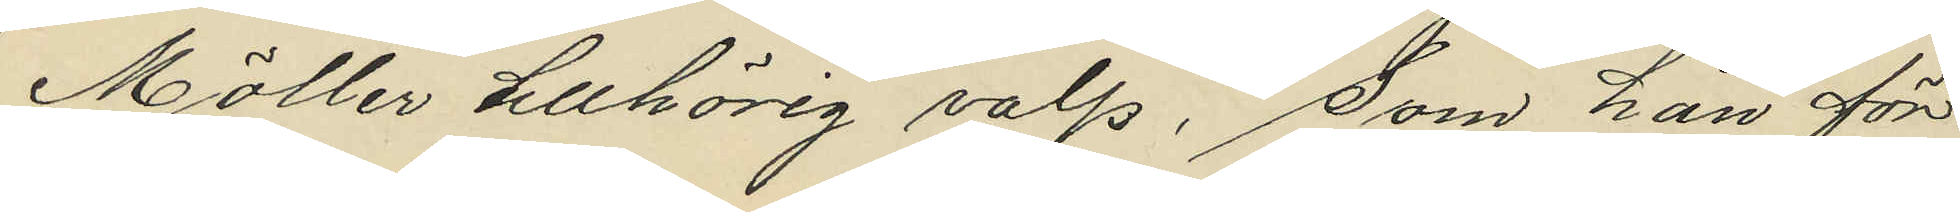Möller tillhörig valp, som han för
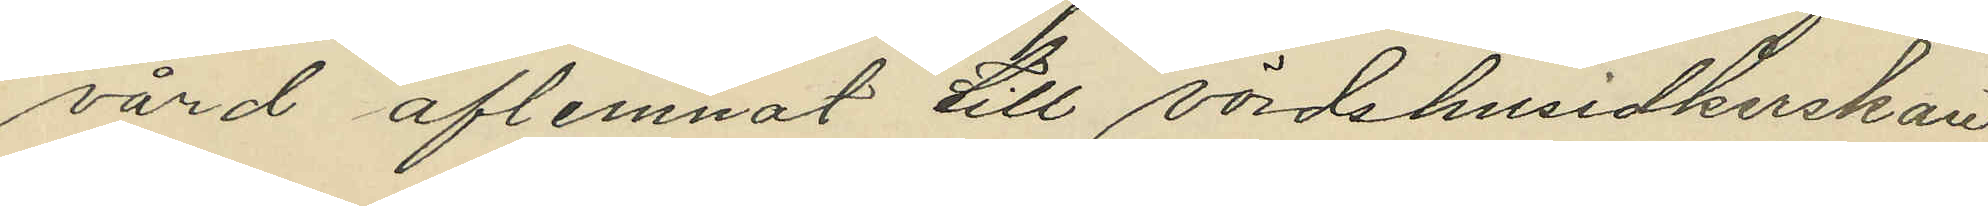vård aflemnat till värdshusidkerskan
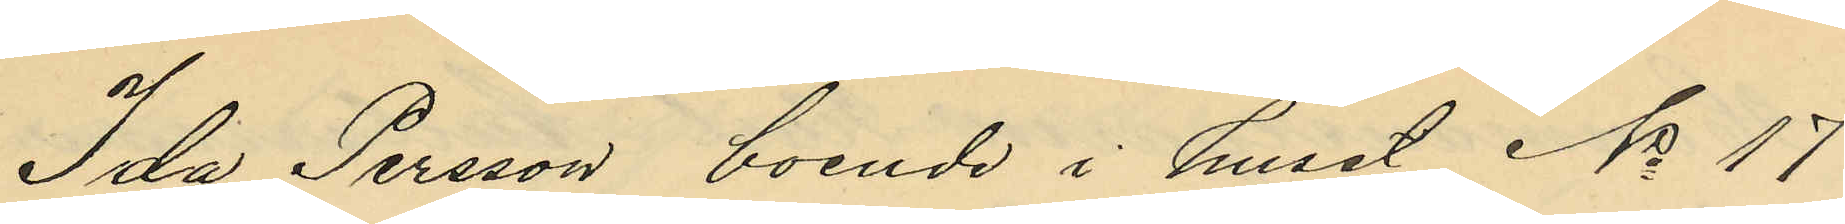Ida Persson boende i huset No 17
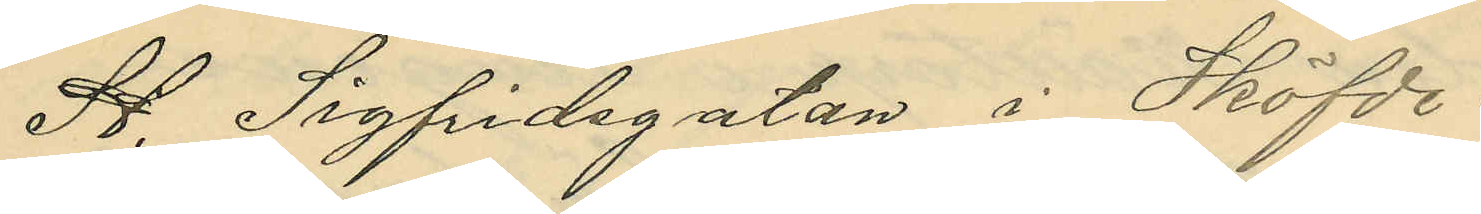St. Sigfridsgatan i Sköfde.
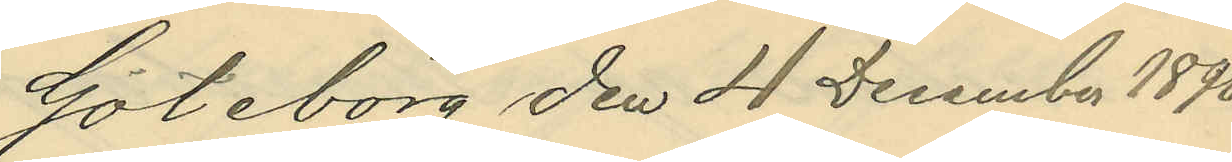Göteborg den 4 December 1896
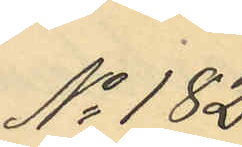No 182.
